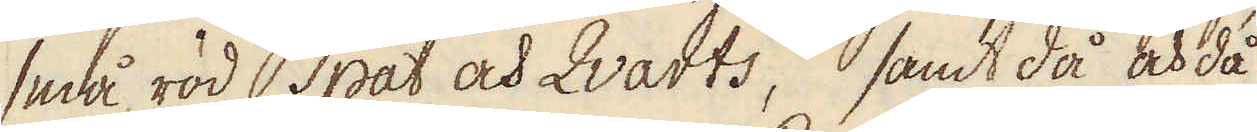små röd spat och Qvarts, samt då och då
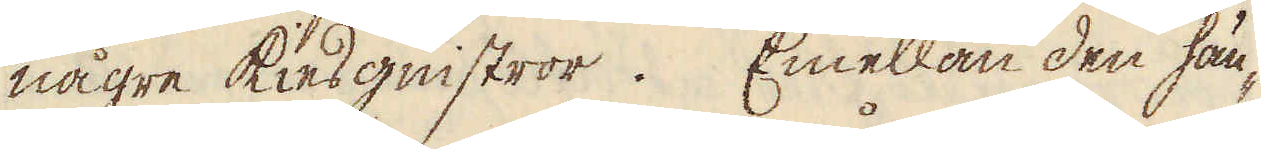någre kiesgnistror. Emellan den hän-
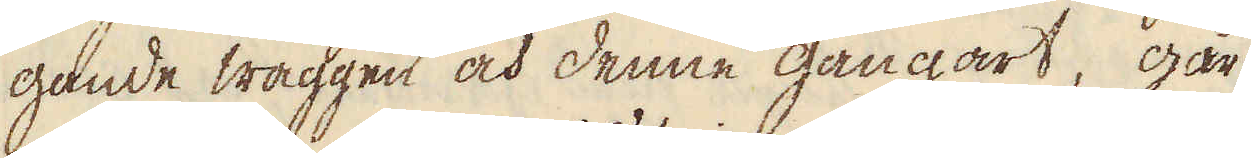gande wäggen och denne gångart, går
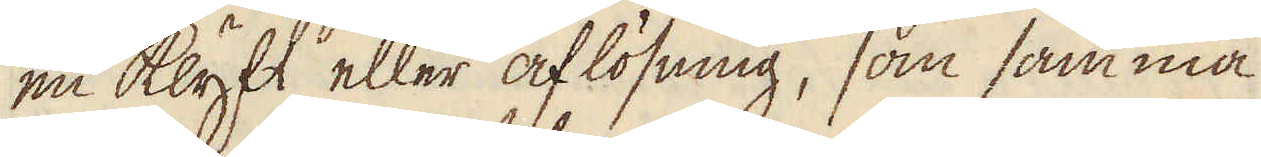en klyft eller aflösning, som samma
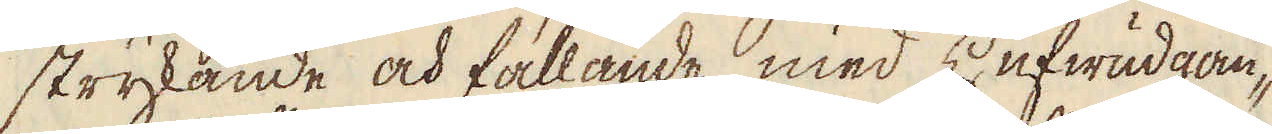strykande och fallande med Hufwudgån-
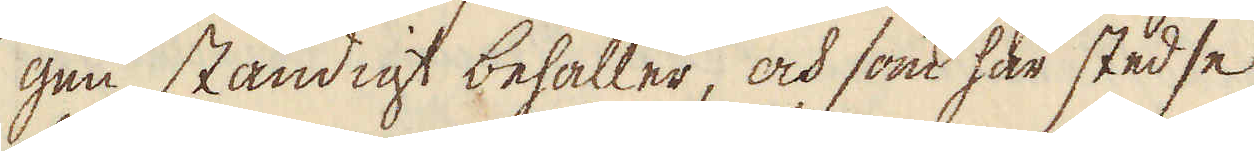gen ständigt behåller, och som här stedse
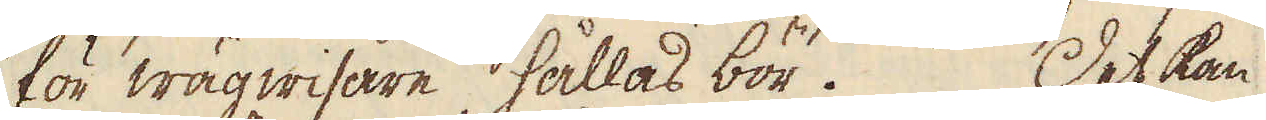för wägwisare hållas bör. Det kan
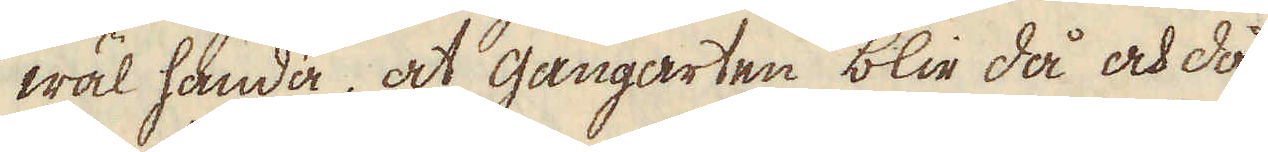wäl hända, at gångarten blir då och då
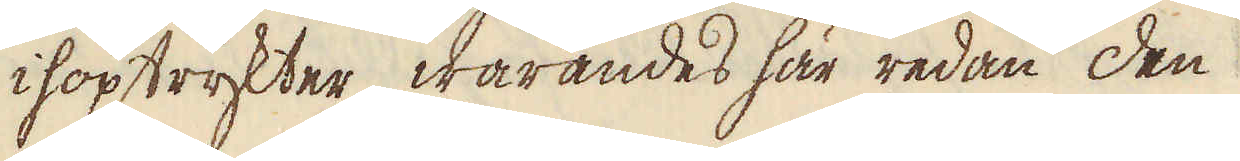ihoptrykter, warandes här redan den
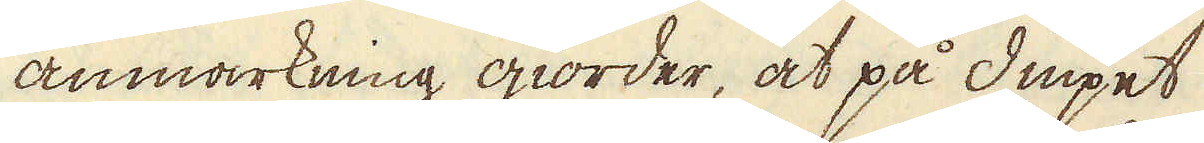anmärkning giorder, at på diupet
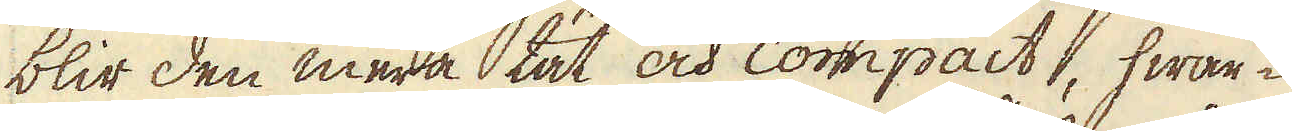blir den mera tät och compact, hwar-
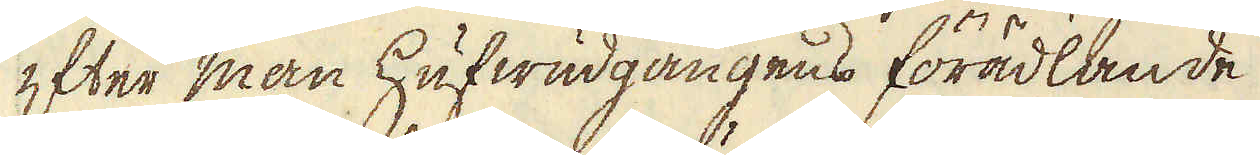efter man hufwudgångens förädlande
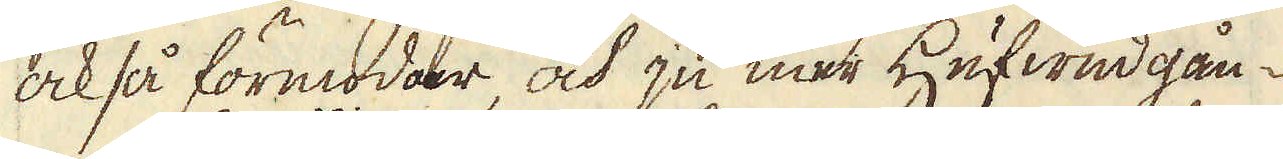också förmodar, och ju mer Hufwud gån-
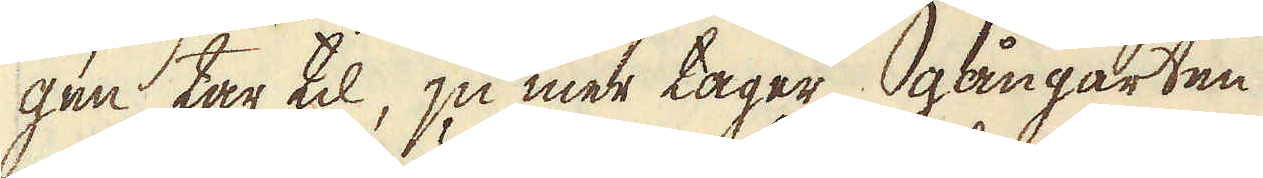gen tar til, ju mer tager gångarten
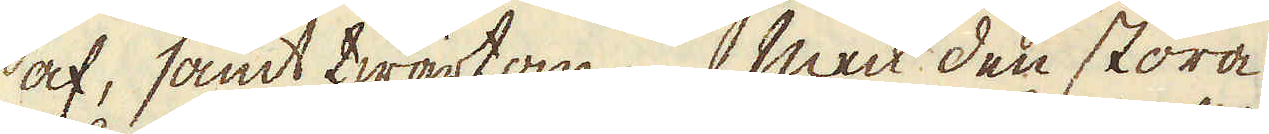af, samt twärtom: Men den stora
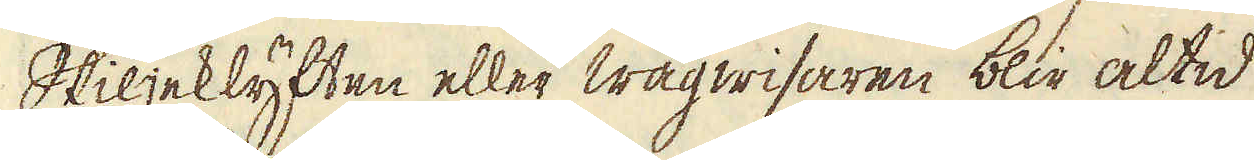Skiljeklyften eller wägwisaren blir altid
